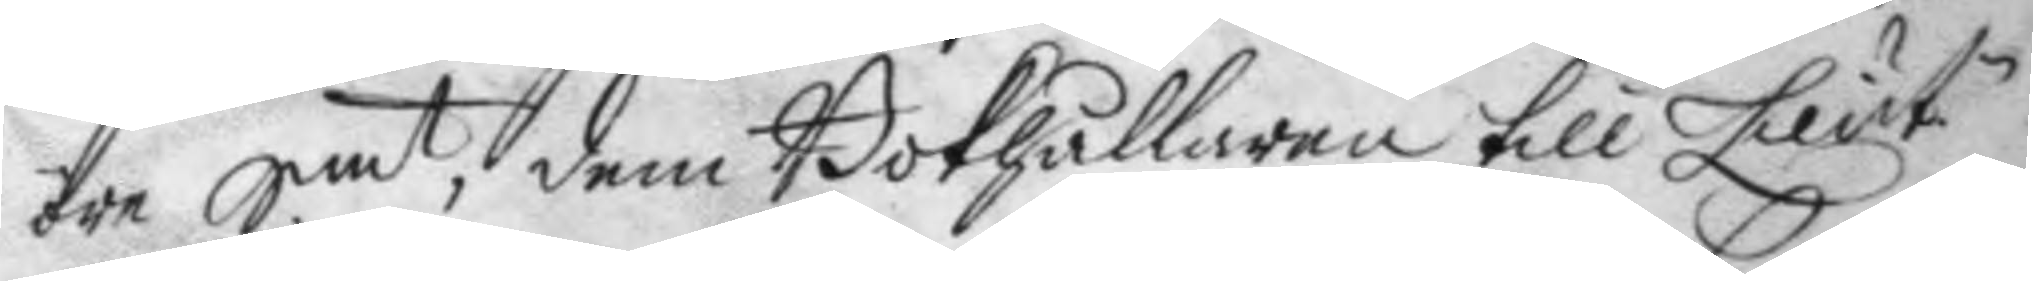öre Smt, dem Bokhållaren till Lieut,
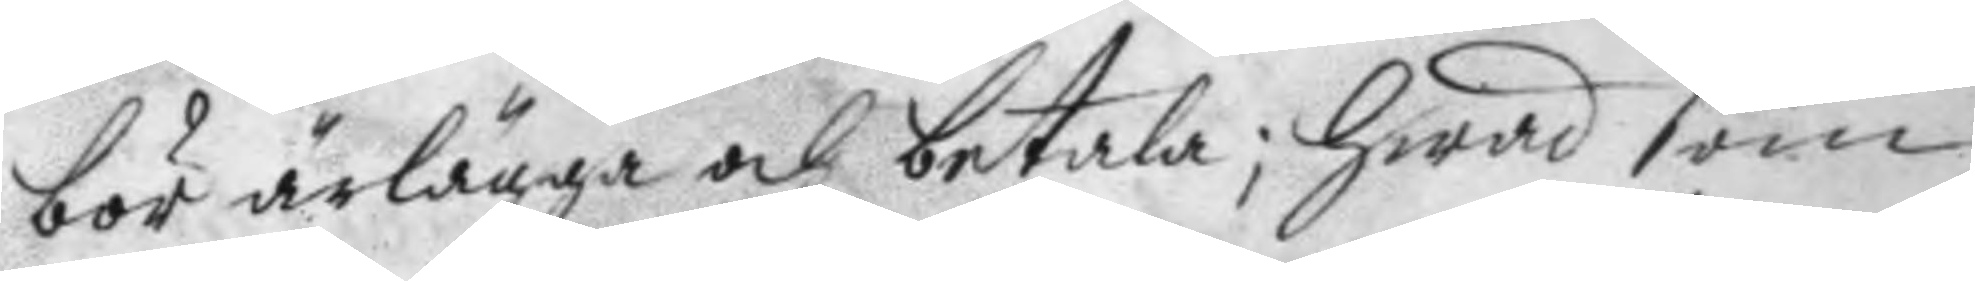bör ärlägga och betala; hwad som
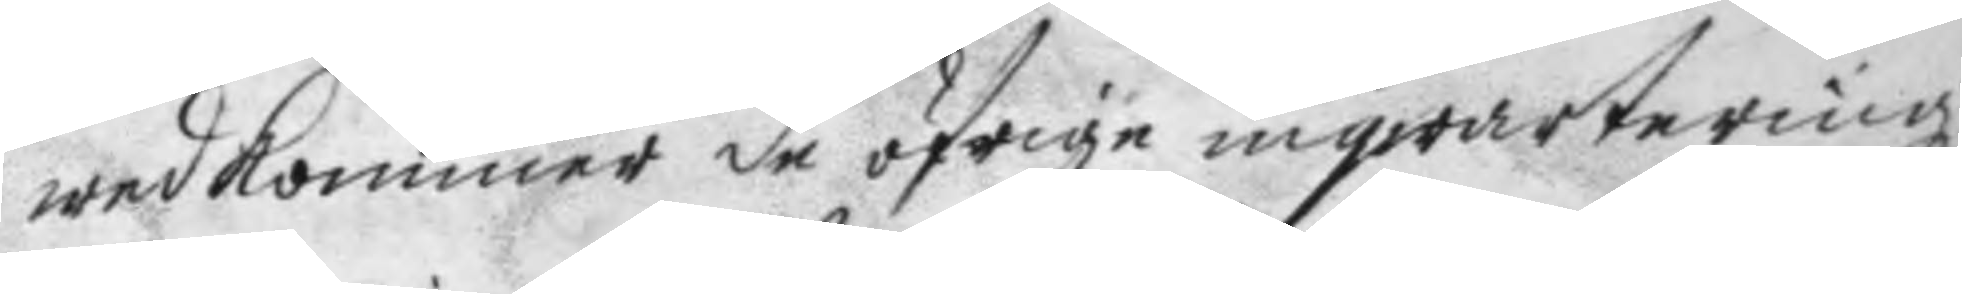wedkommer de öfrige inqwarteringz¬
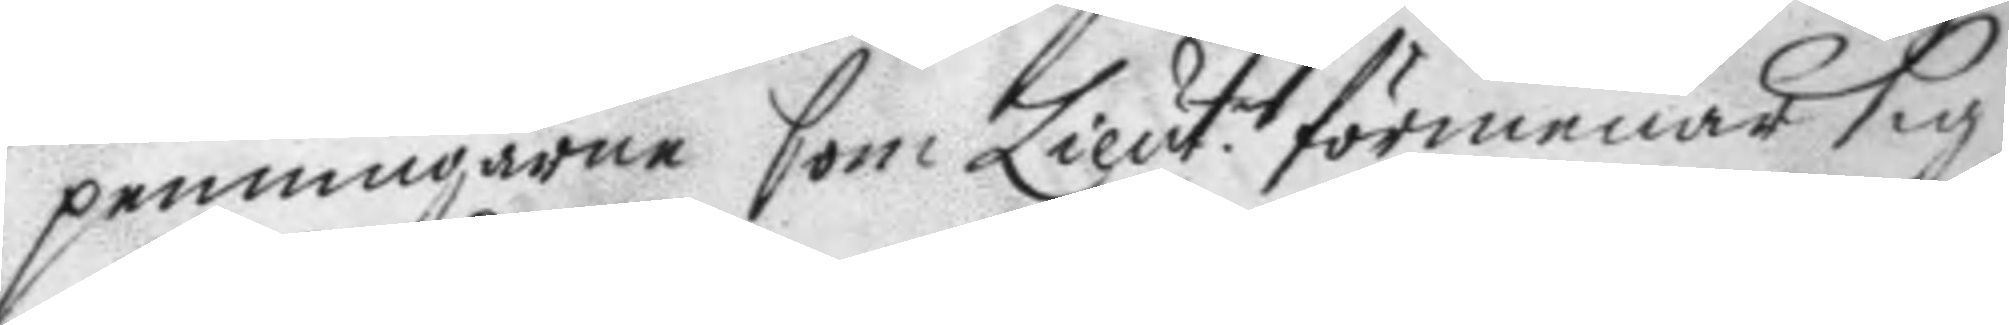penningarne som Lieut. förmenar sig
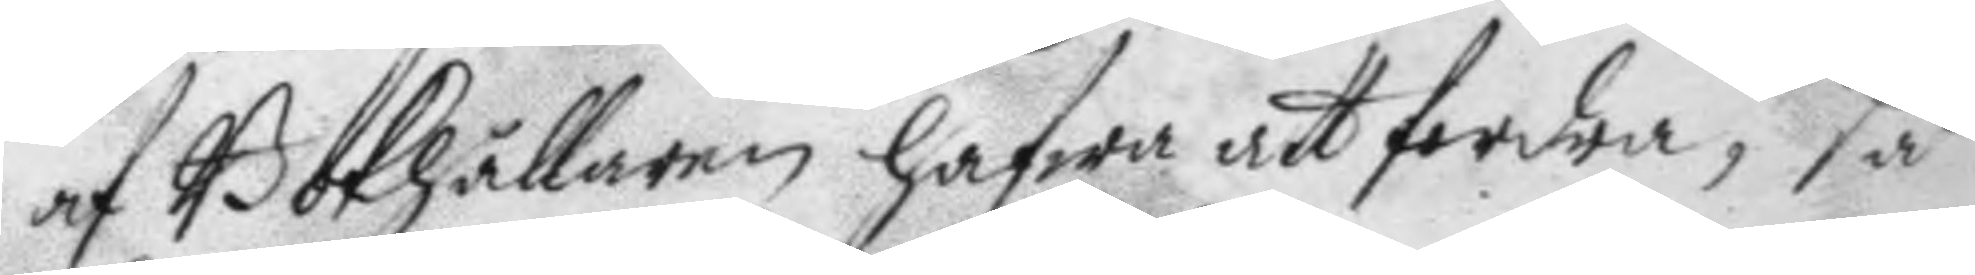af Bokhållaren hafwa att fordra, så
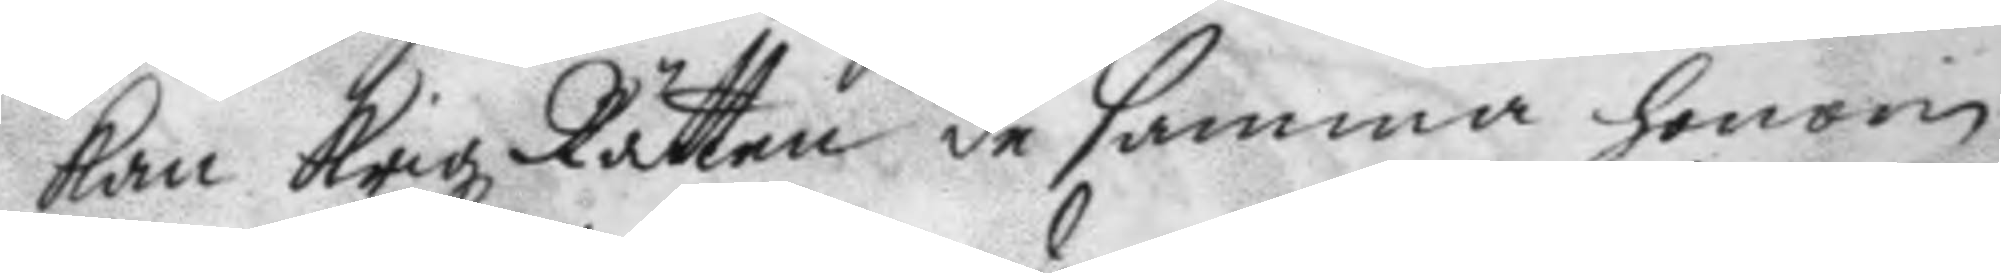kan Krigz Rätten de samma honom
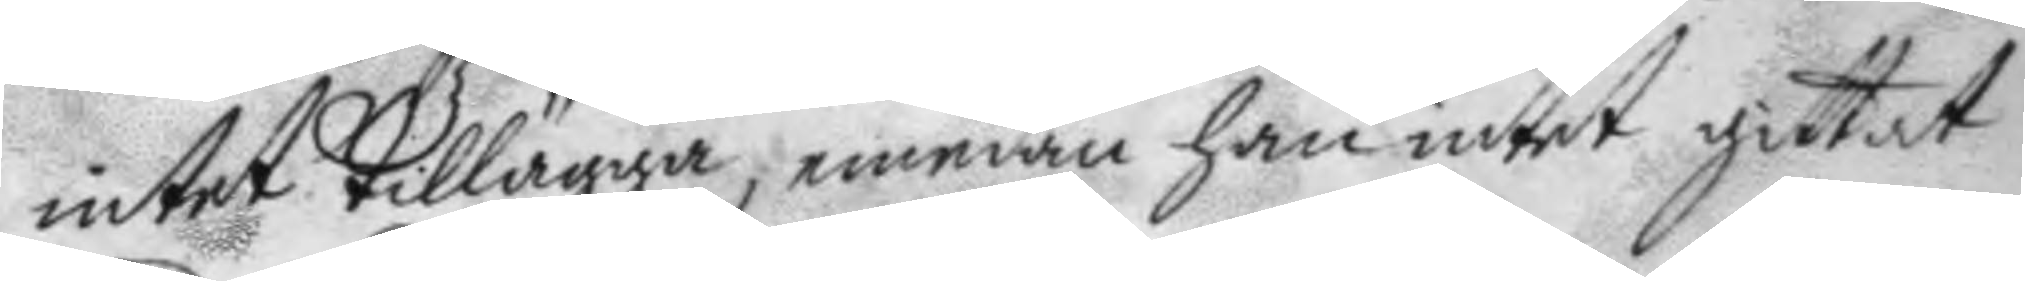intet tillägga, emedan han intet gittat
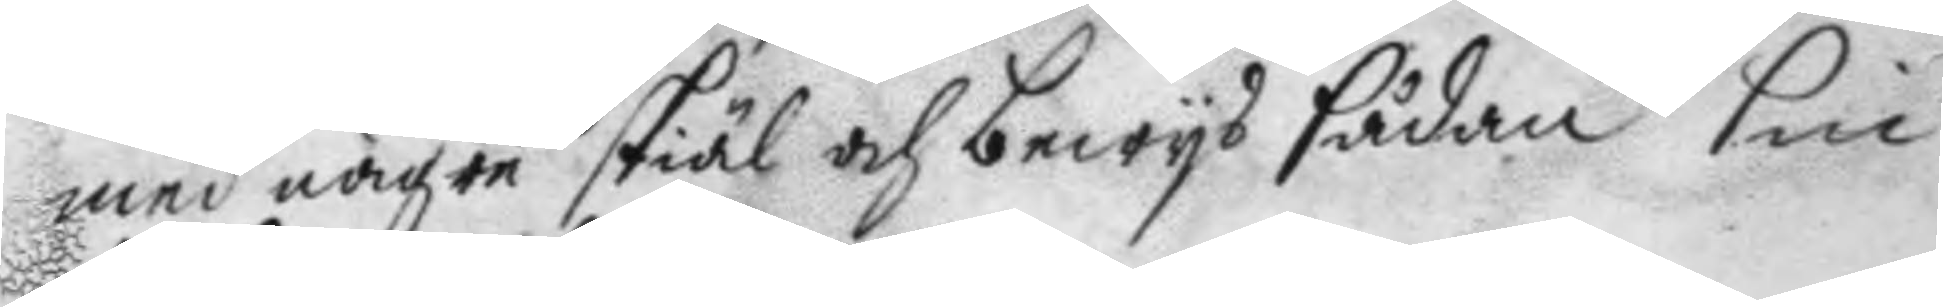med några skiäl och bewys sådan sin
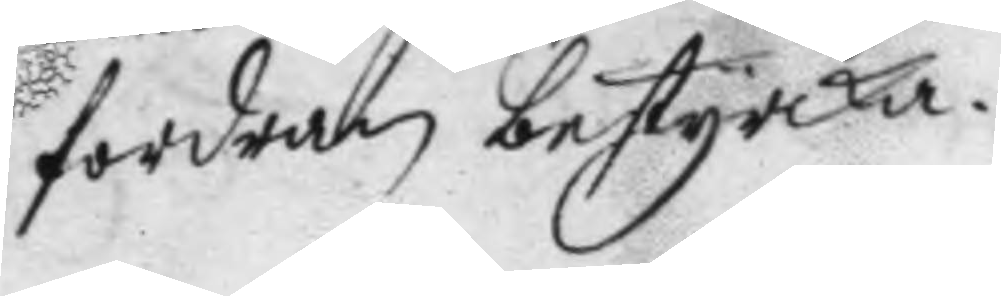fordran bestyrcka.
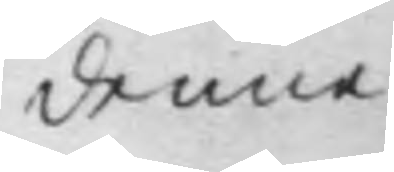denne
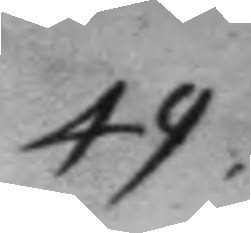49.
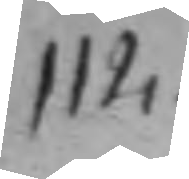112.
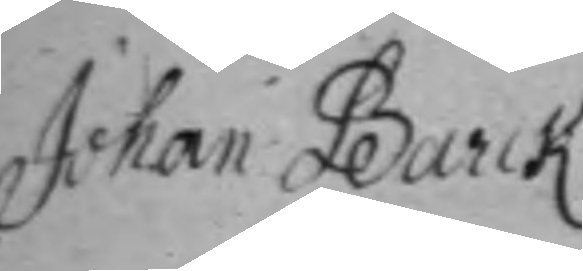Johan Barck
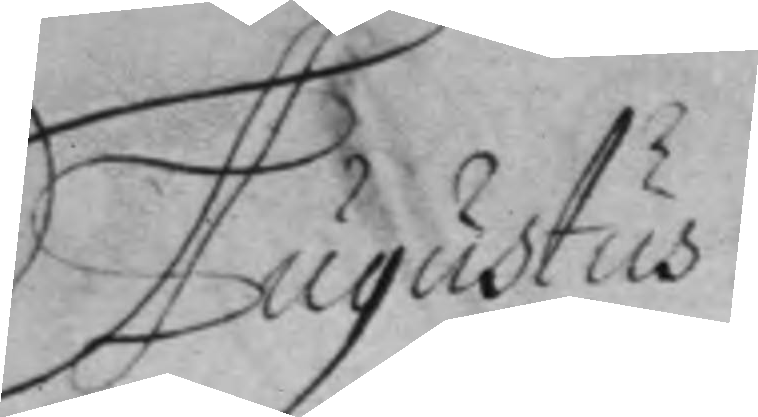Augustus
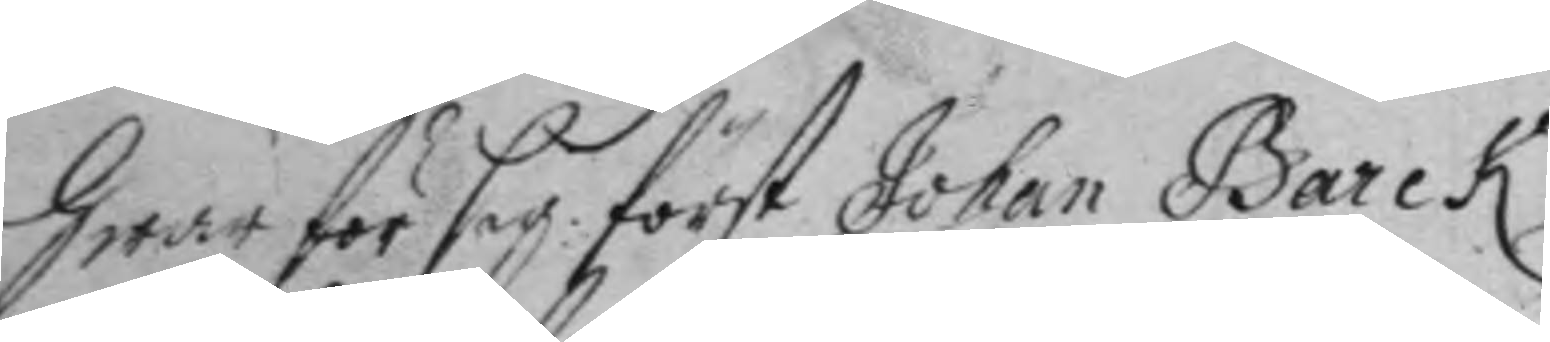hwar för sig först Johan barck.
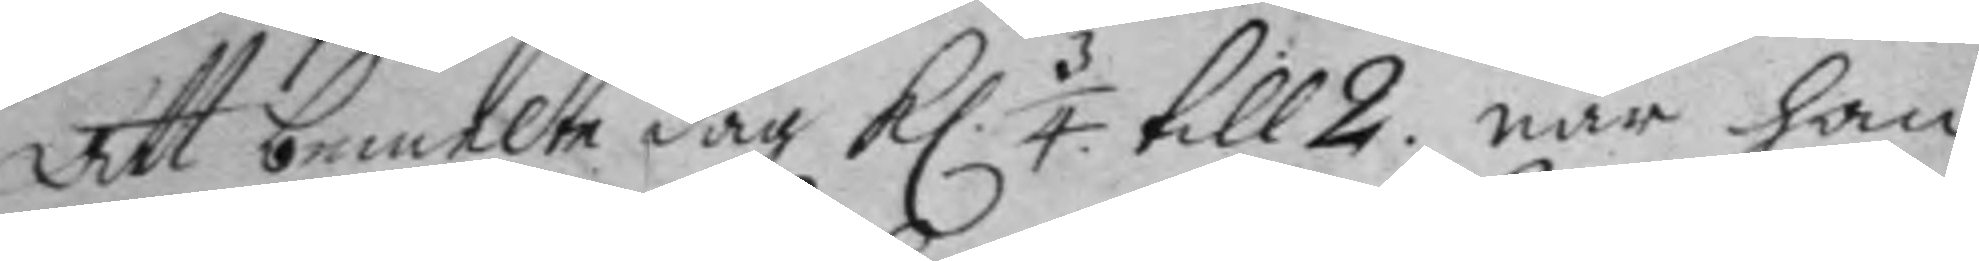Att bemelte dag kl. 3/4 till 2. när han
